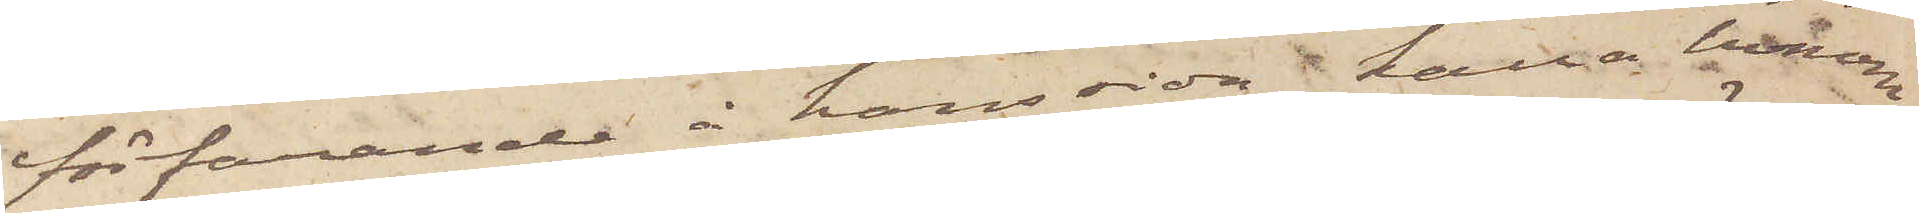förfarande å hans sida, kalla honom
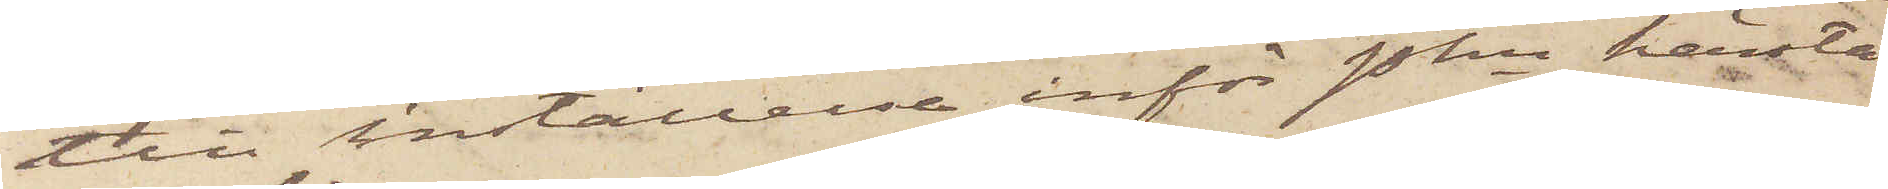till inställelse inför Pkn härstä¬
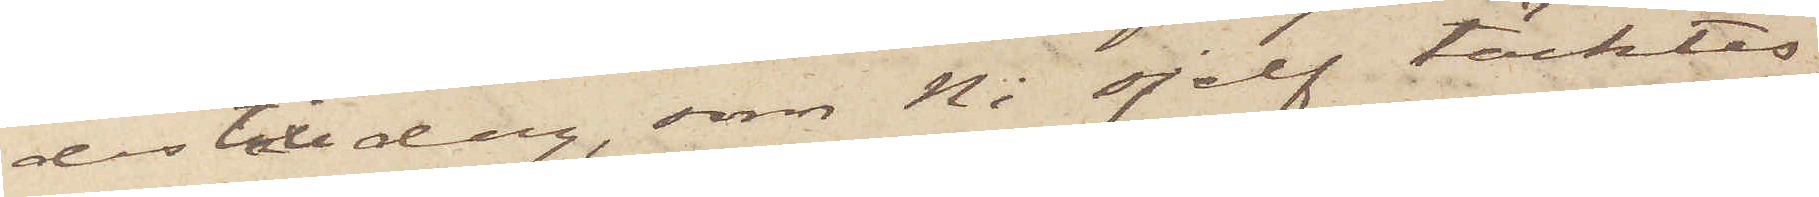des till dag, som Ni sjelf täcktes
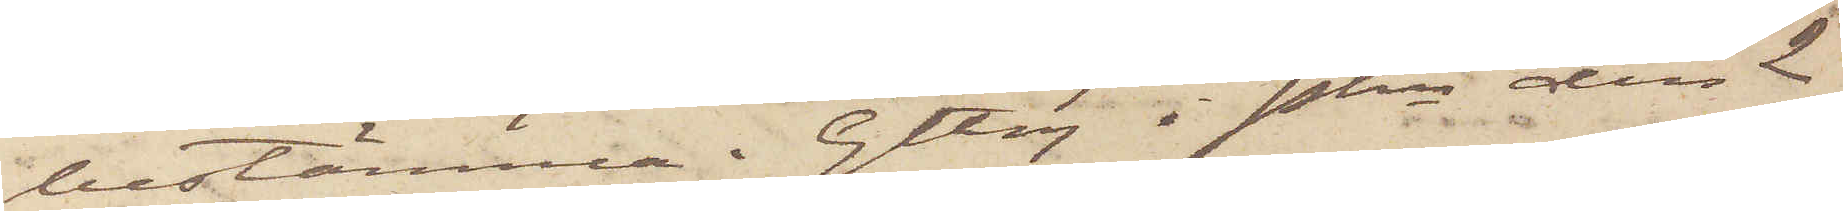bestämma. Gtbg i Pkn den 2
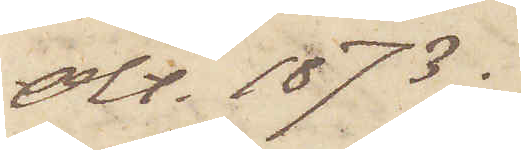Okt. 1873.
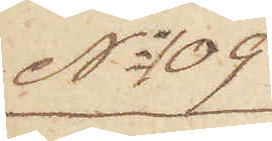No 109
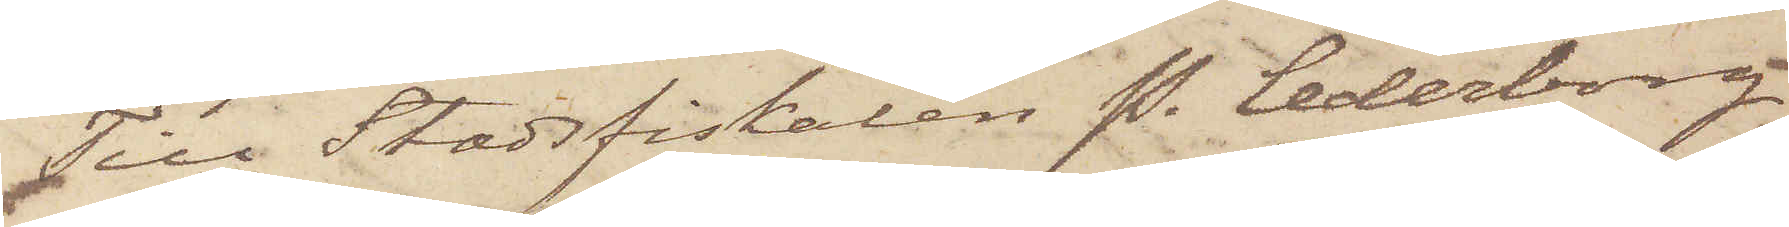Till Stadsfiskalen P. Cederborg
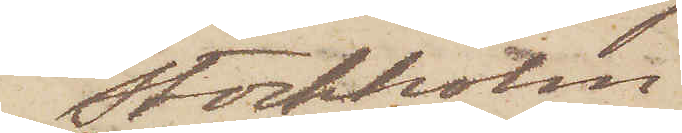Stockholm
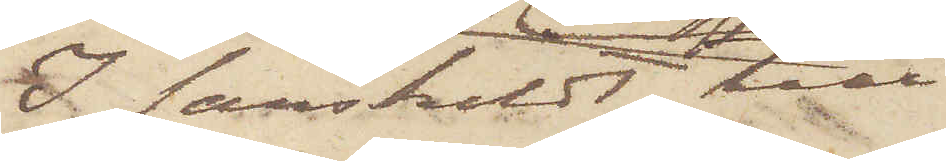I särskildt till
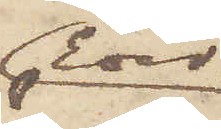Eder
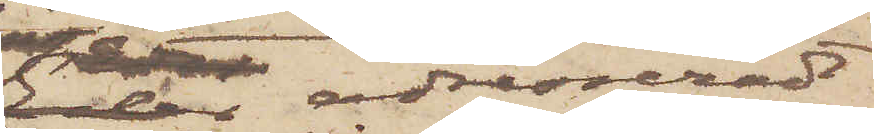 adresseradt
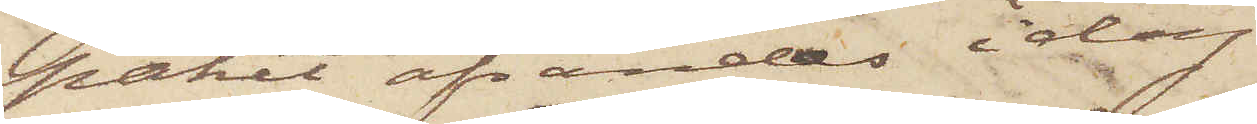paket afsändes i dag
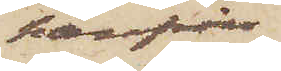härifrån
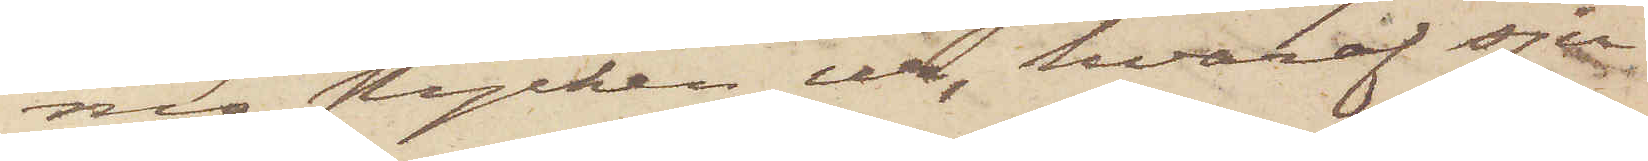nio stycken ur, hvaraf sju
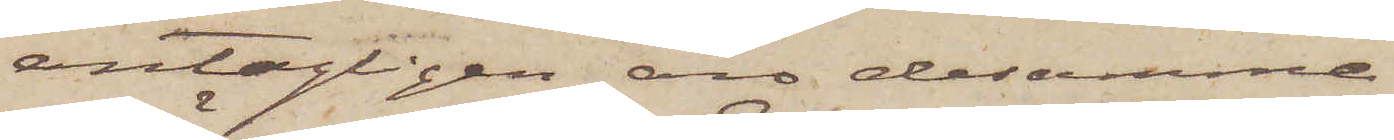antagligen äro desamme,
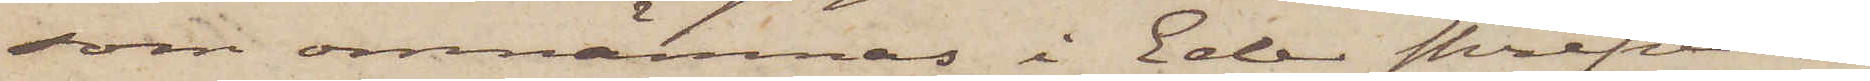som omnämnas i Eder skrifvelse
